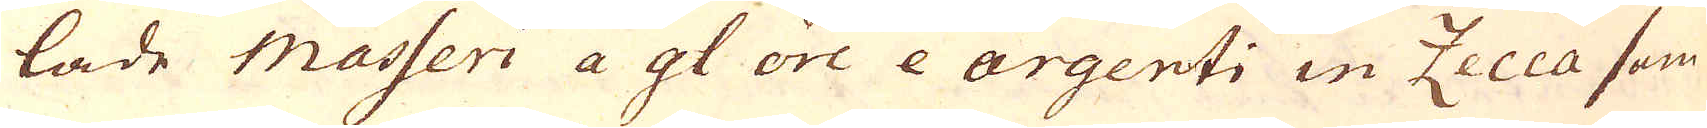lade masseri a gl ore e argenti in Zecca som
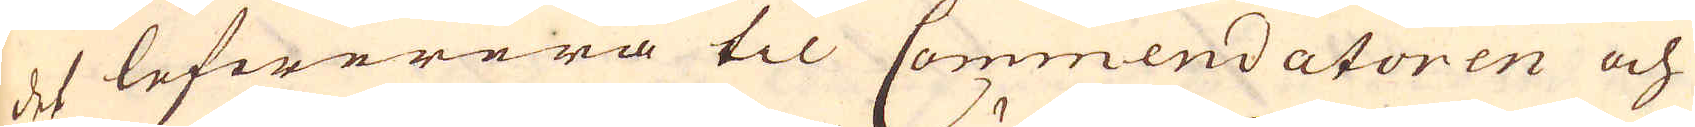det lefwerera til Commendatoren och
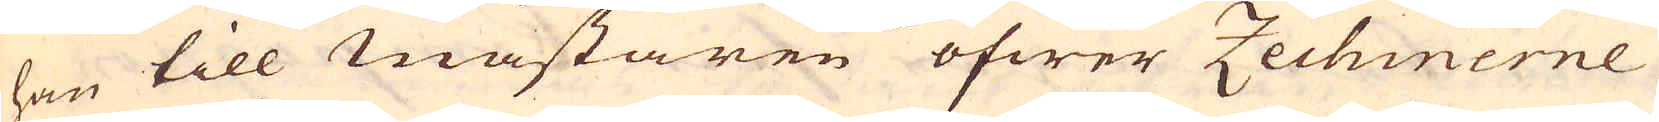han till Mästaren öfwer Zechinerne
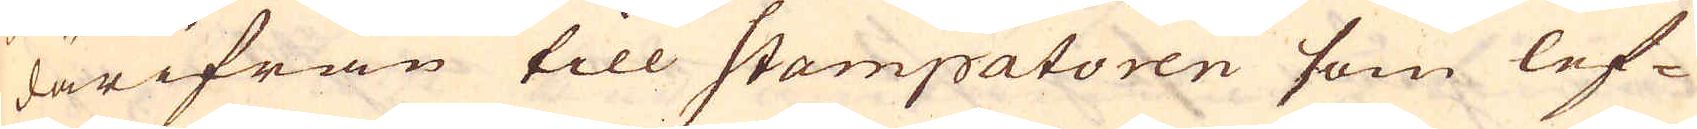därifrån till Stampatoren som lef-
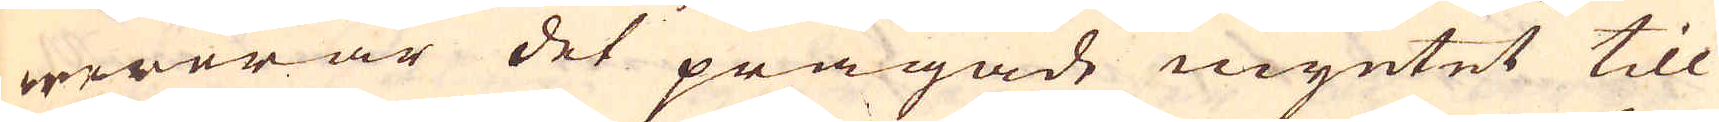wererar det prägade myntet till
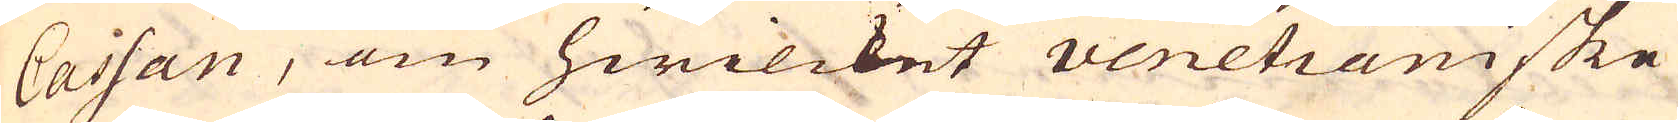Cassan, om hwilcket venetianiske
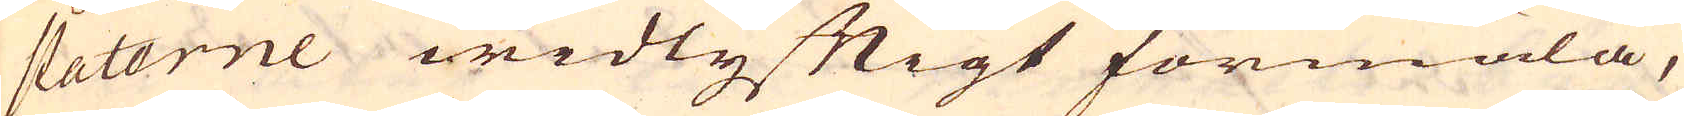statorne widlyftigt förmäla,
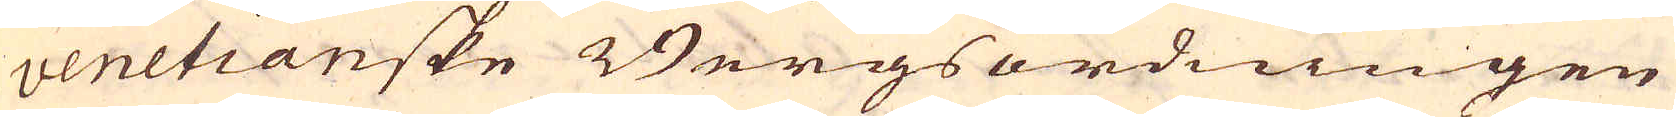venetianske Bergsordningen
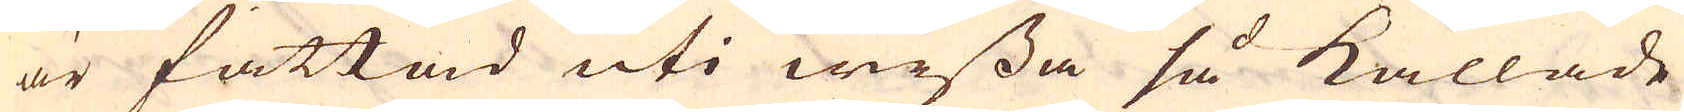är fattad uti wissa så kallade
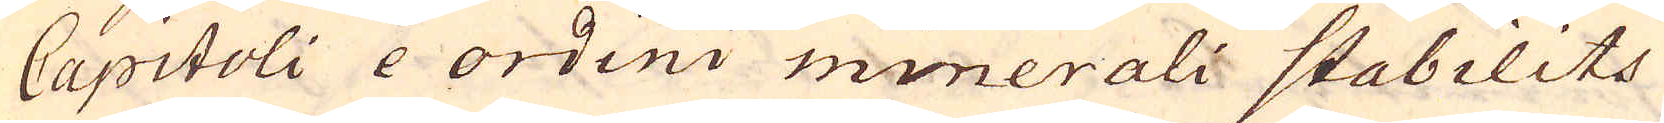Capitoli e ordini minerali stabilits
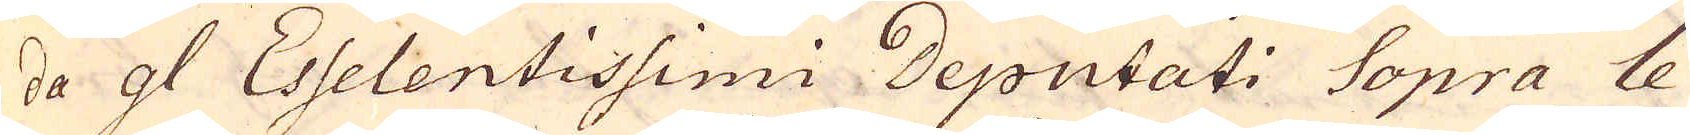da gl Esselentissimi Deputati Sopra le
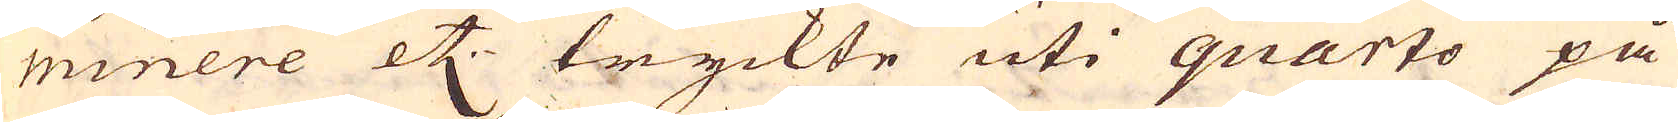minere etc tryckte uti quarto på
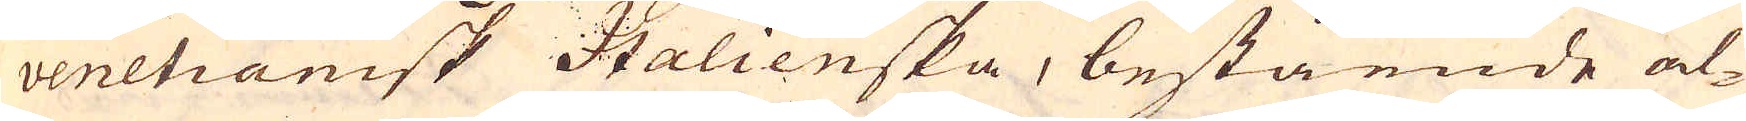venetianisk Italienska, bestående al-
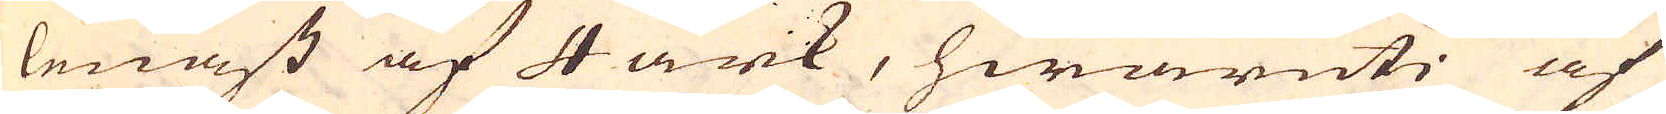lenast af 4 ark, hwaruti af
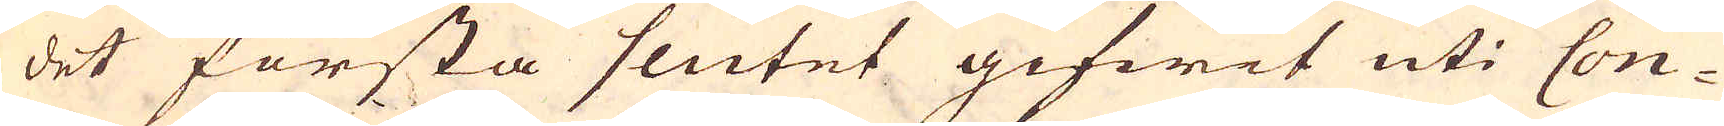det första slutet gifwit uti Con-
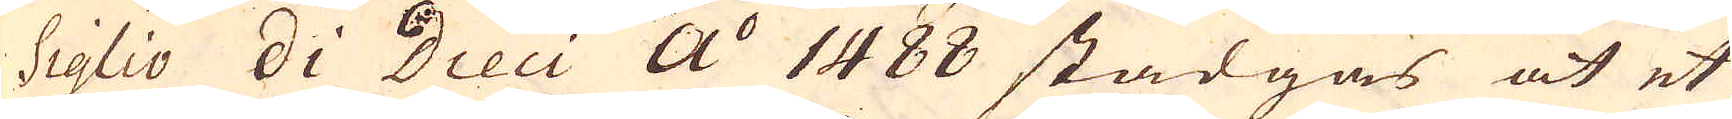siglio di Dieci a:o 1488 stadgas at et
